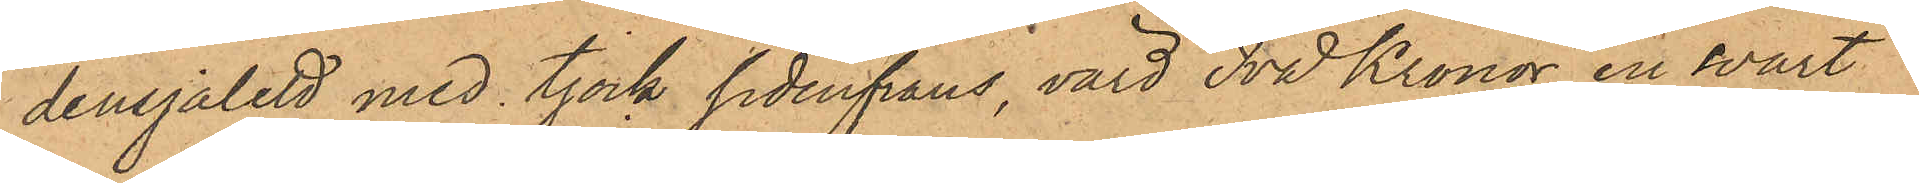densjalett med tjock sidenfrans, värd Två Kronor, en svart
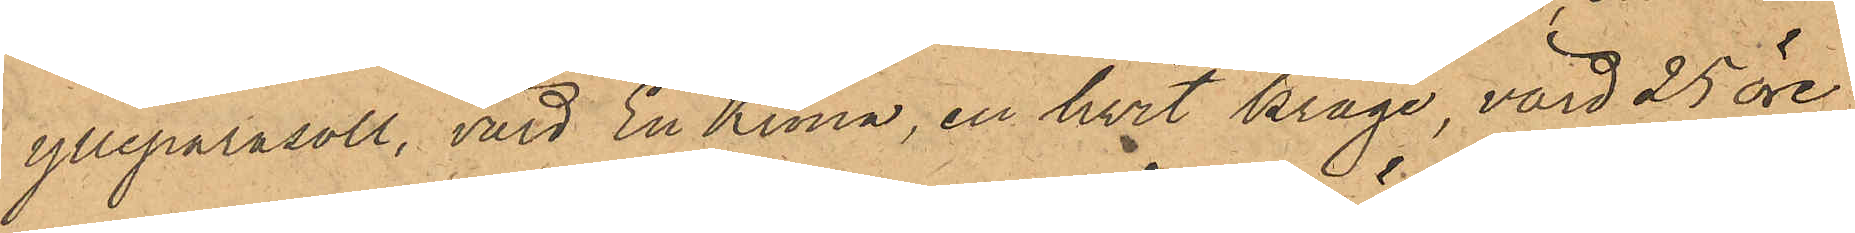ylleparasoll, värd En Krona, en hvit krage, värd 25 öre
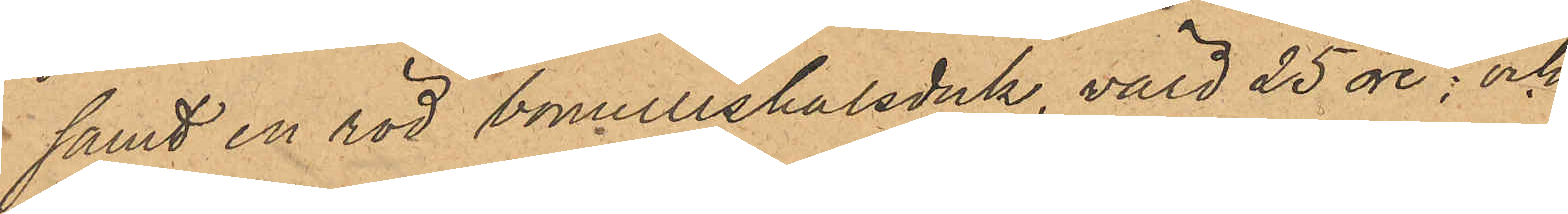samt en röd bomullshalsduk, värd 25 öre; och
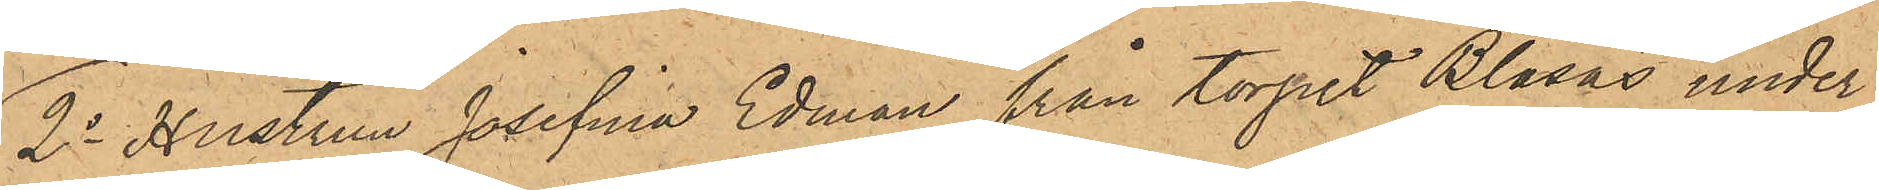2o Hustrun Josefina Edman från torpet Blåsås under
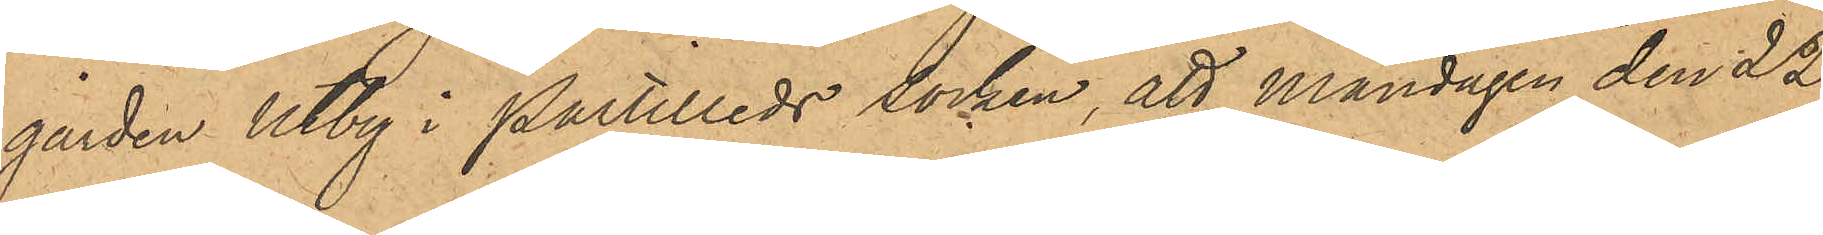gården Utby i Partilleds socken, att Måndagen den 22
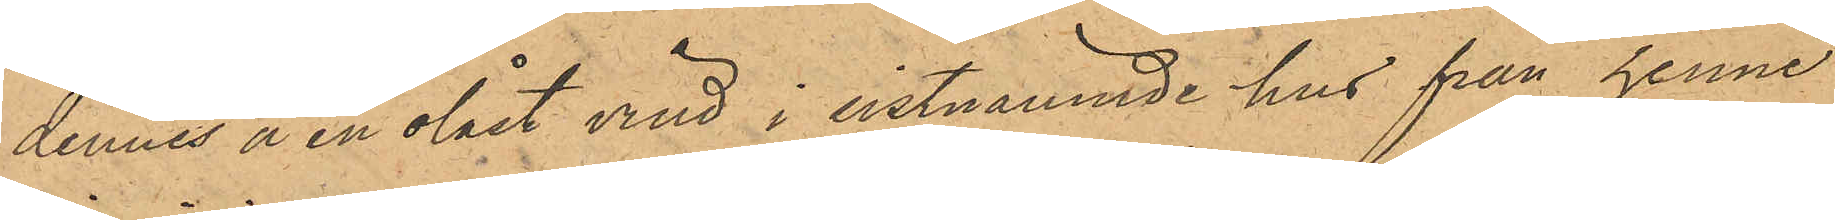dennes å en olåst vind i sistnämnde hus från henne
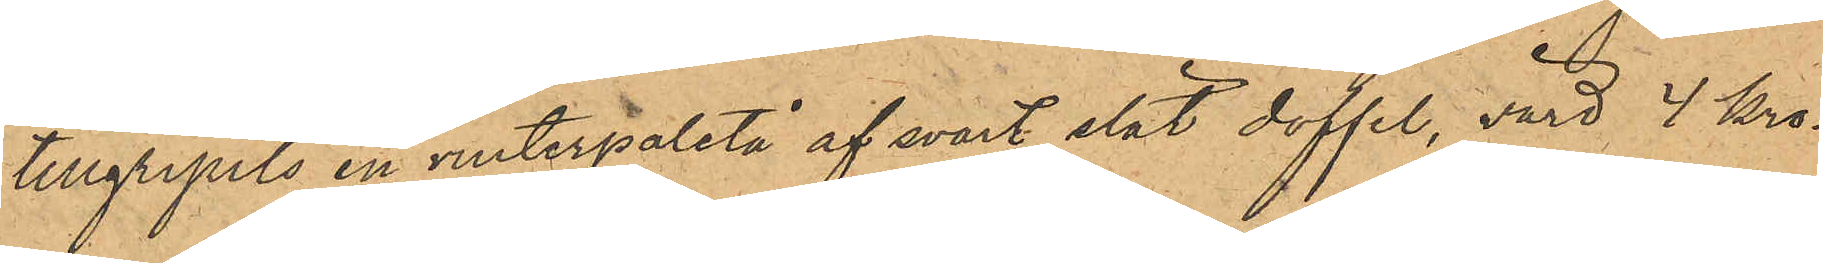tillgripits en vinterpaletå af svart slät doffel, värd 4 kro¬
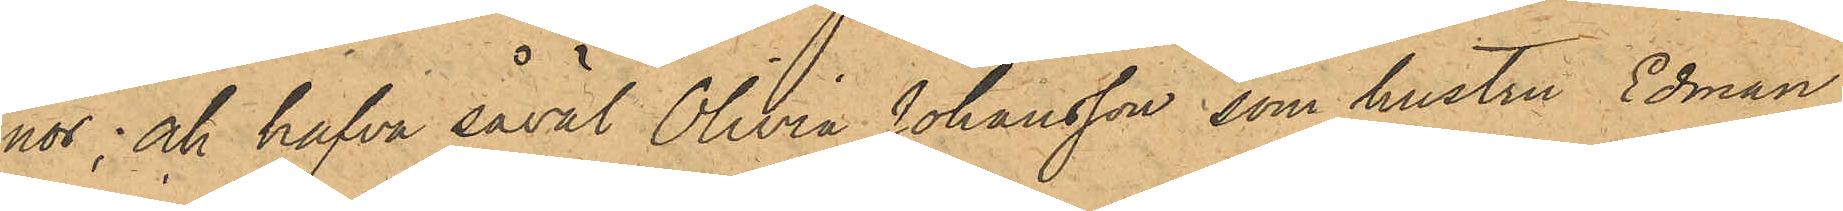nor; och hafva såväl Olivia Johansson som hustru Edman
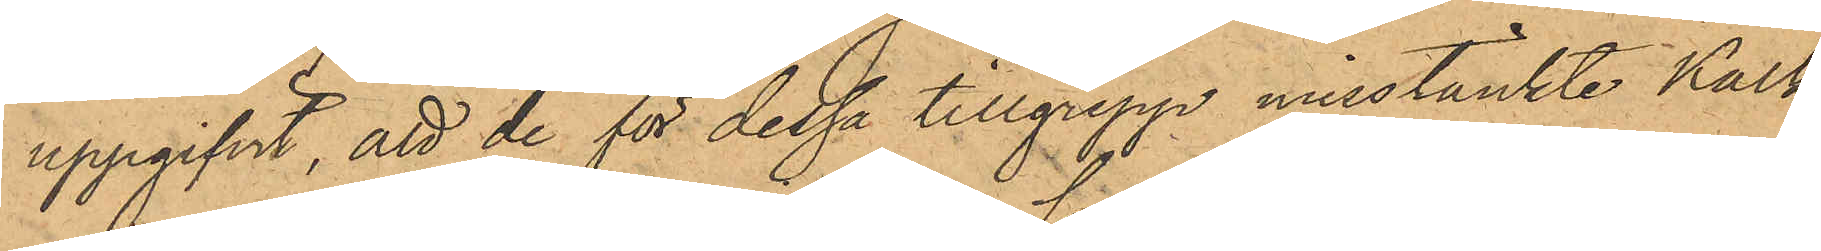uppgifvit, att de för dessa tillgrepp misstänkte Kalk¬
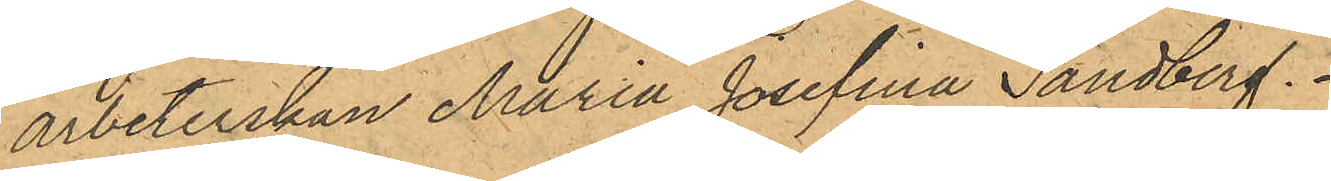arbeterskan Maria Josefina Sandberg.
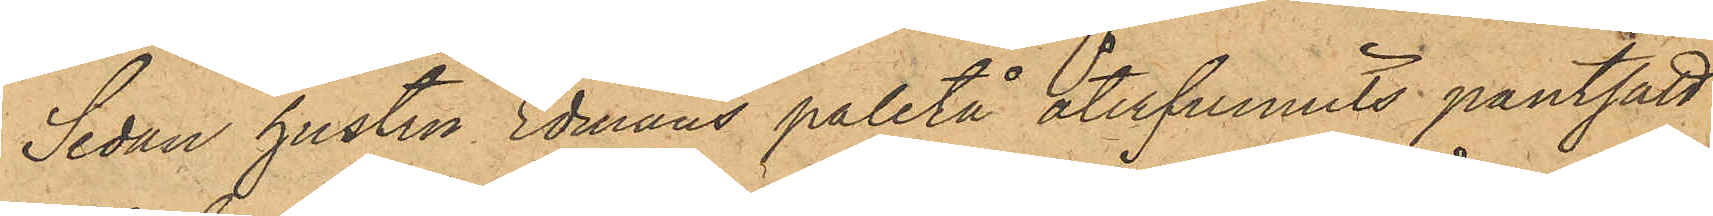Sedan hustru Edmans paletå återfunnits pantsatt
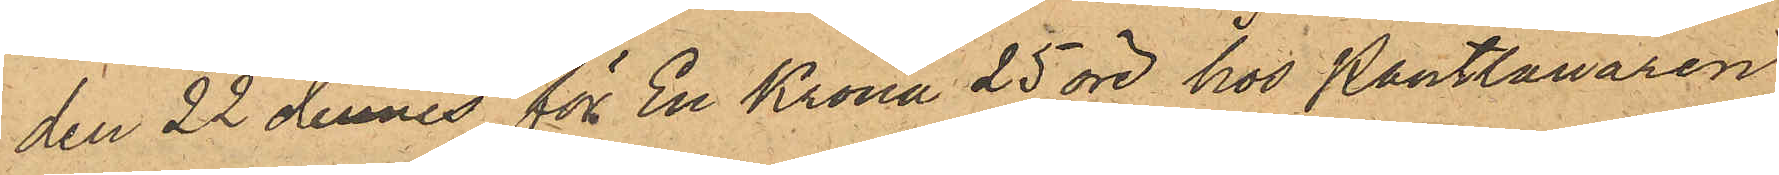den 22 dennes för En Krona 25 öre hos Pantlånaren
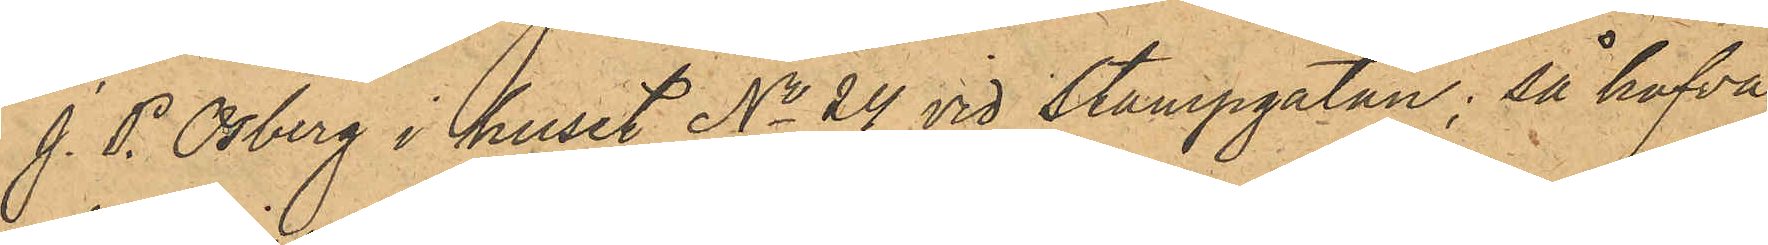J. P. Osberg i huset No 24 vid Stampgatan; så hafva
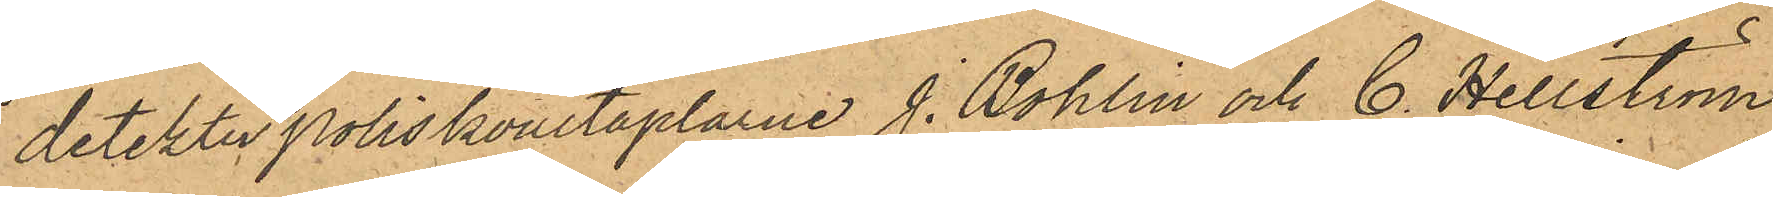detektivpoliskonstaplarne J. Bohlin och C. Hellström
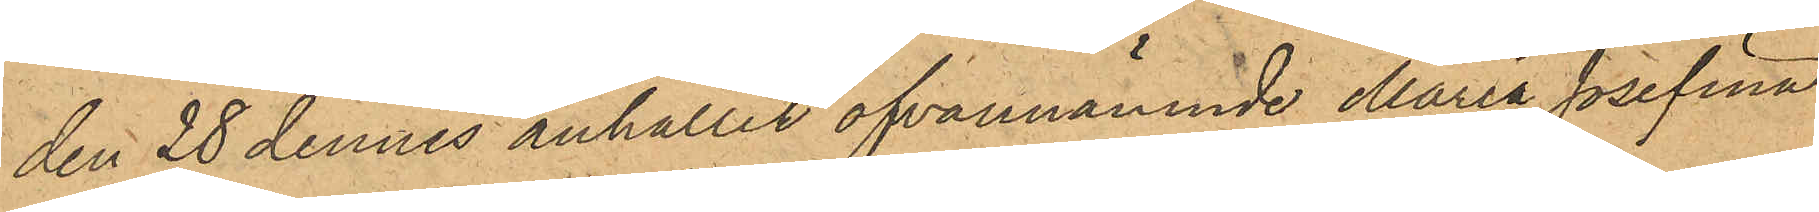den 28 dennes anhållit ofvannämnde Maria Josefina
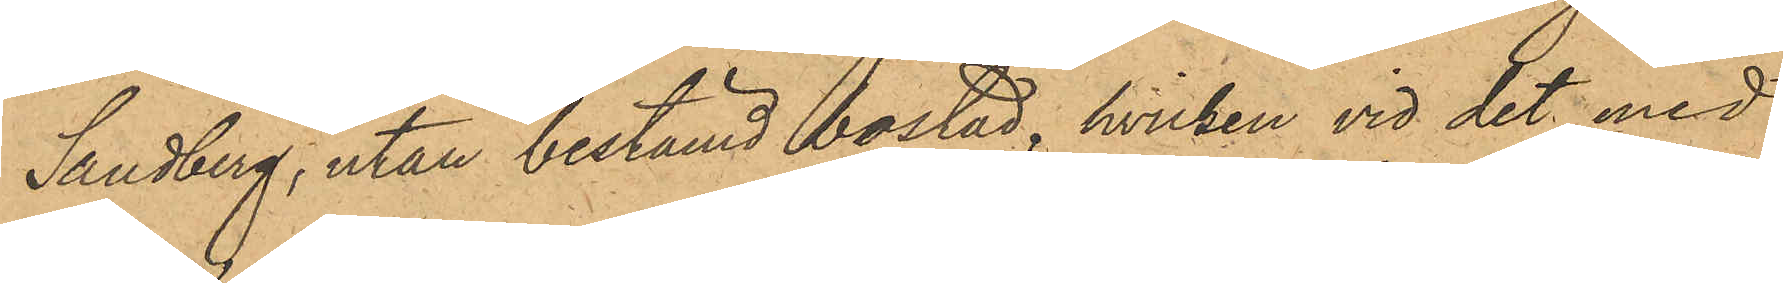Sandberg, utan bestämd bostad, hvilken vid det med
